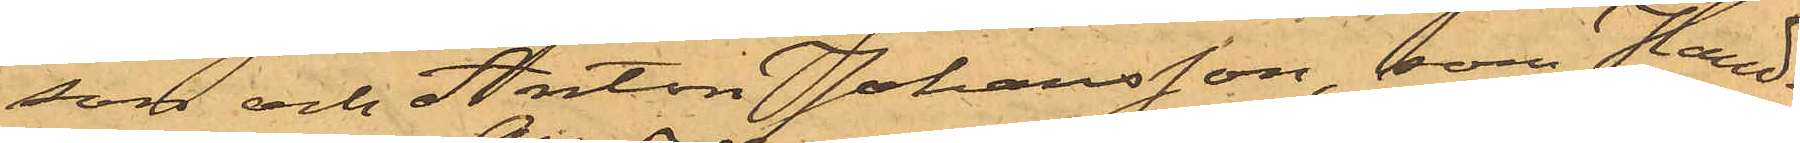son och Anton Johansson, som Hand¬
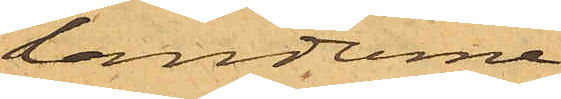landerna
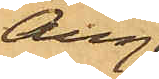Aug.
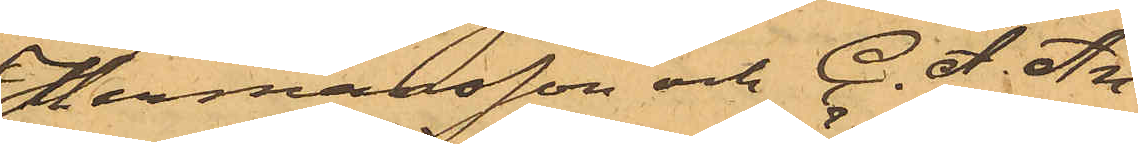Hermansson och C. A. An¬
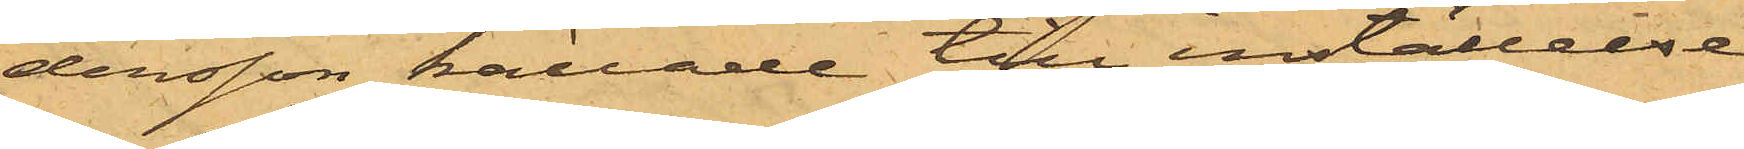dersson kallade till inställelse
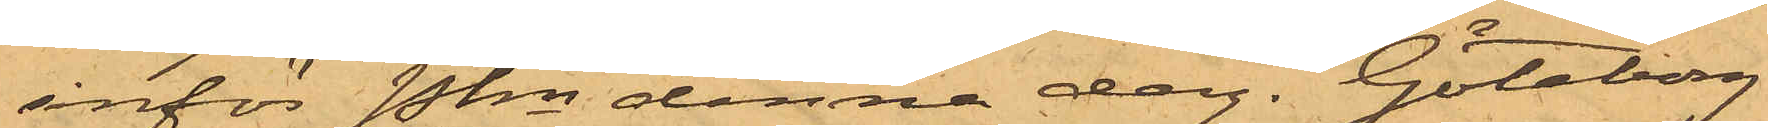inför Pkn denna dag. Göteborg
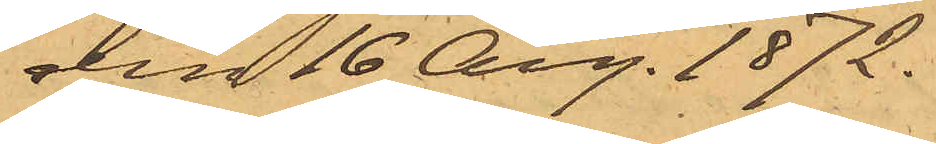den 16 Aug. 1872.
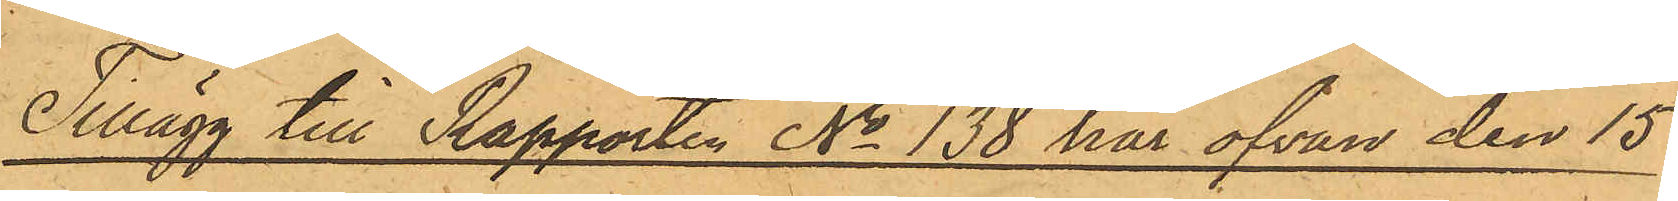Tillägg till Rapporten No 138 här ofvan den 15
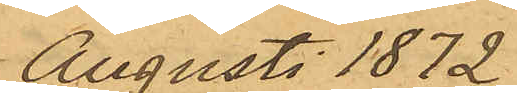Augusti 1872.
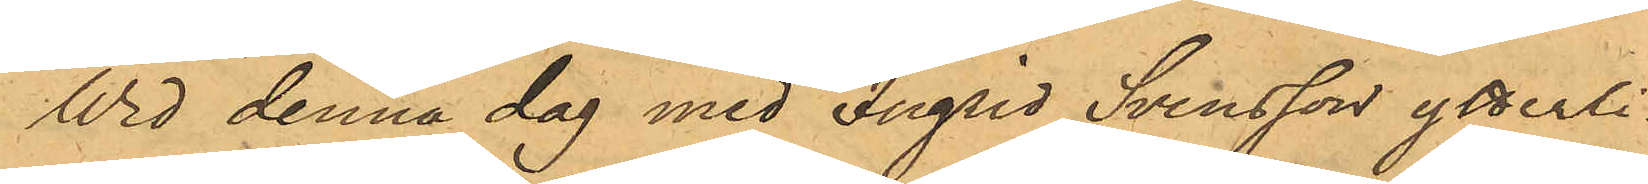Wid denna dag med Ingrid Svensson ytterli¬
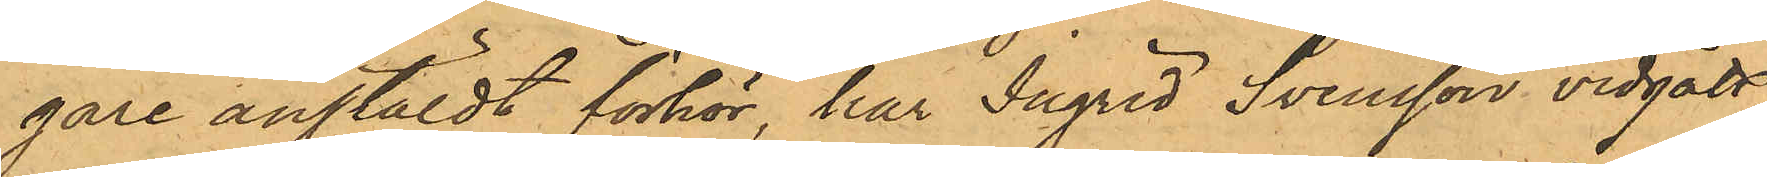gare anstäldt förhör, har Ingrid Svensson vidgått,
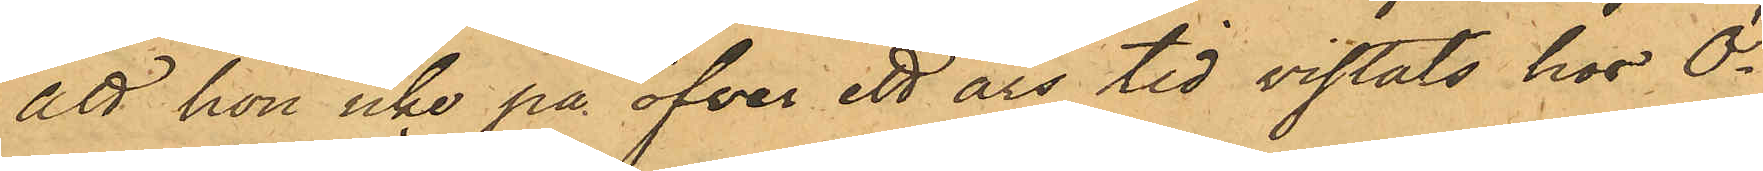att hon icke på öfver ett års tid vistats hos Ö¬
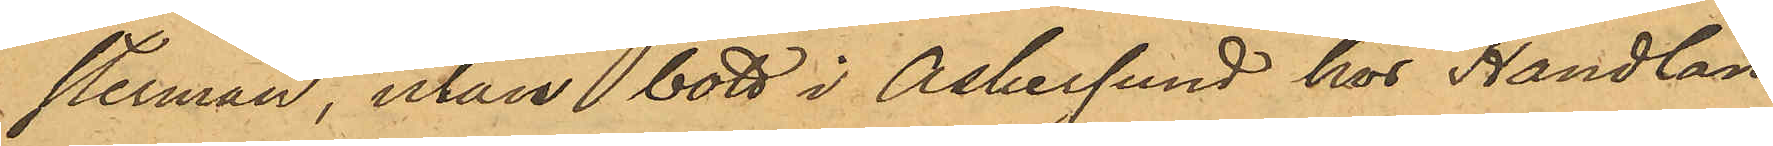sterman, utan bott i Askersund hos Handlan¬
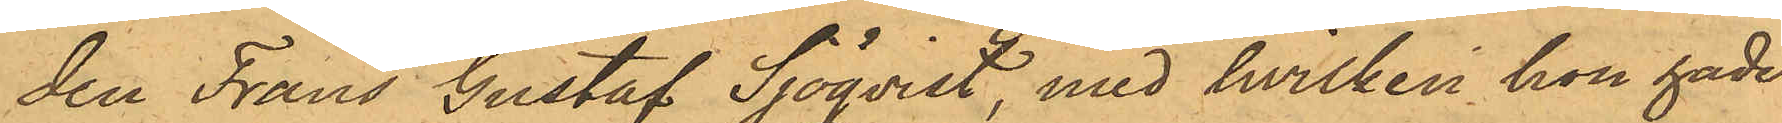den Frans Gustaf Sjöqvist, med hvilken hon hade
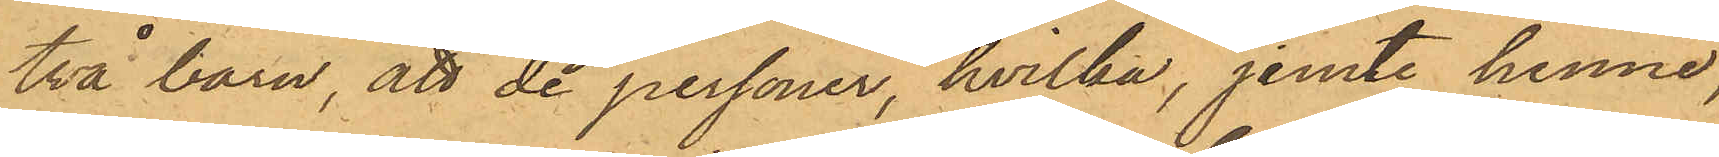två barn, att de personer, hvilka, jemte henne,
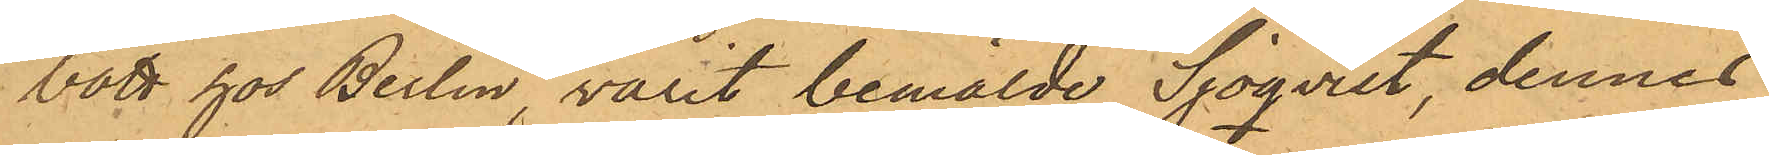bott hos Berlin, varit bemälde Sjöqvist, dennes
